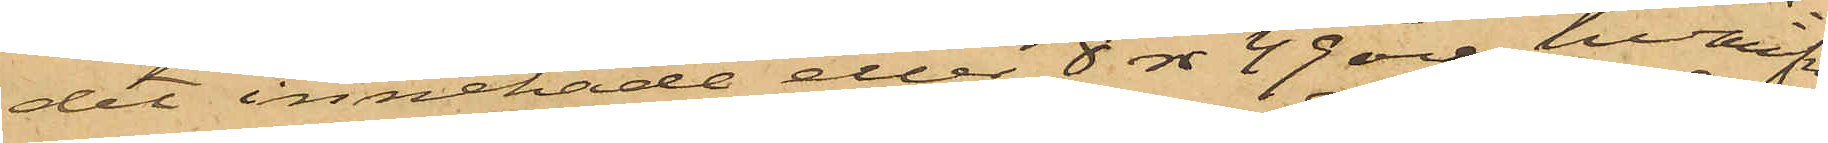det innehade eller 8 rdr 49 öre, hvaraf
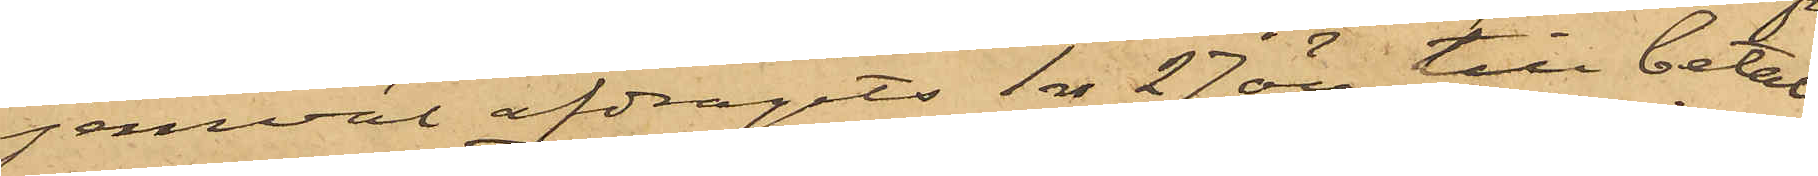jemväl afdragits 1 rdr 27 öre till betal¬
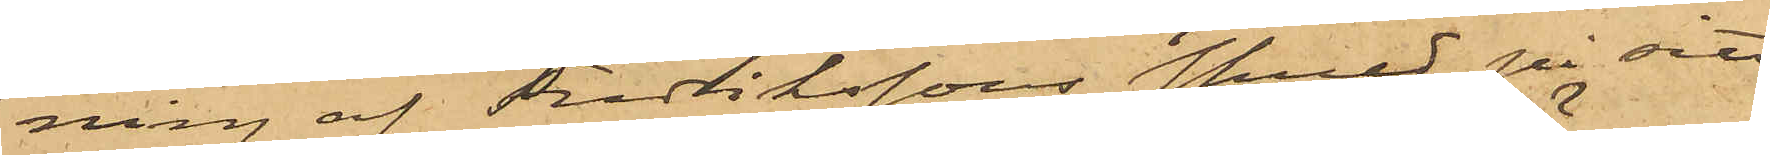ning af Fredrikssons skuld på sitt
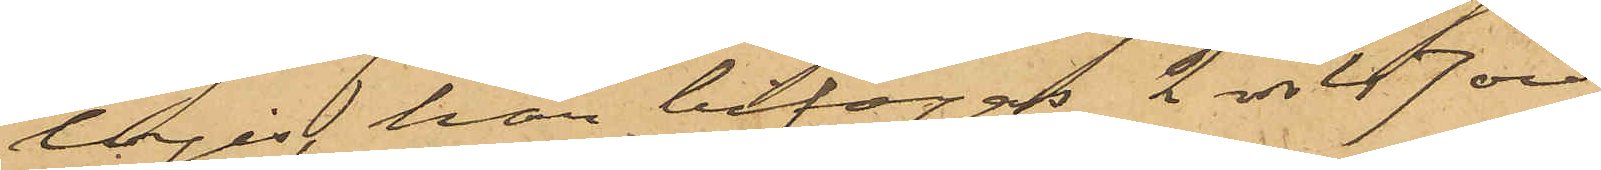logis, här bifogas 2 rdr 47 öre.
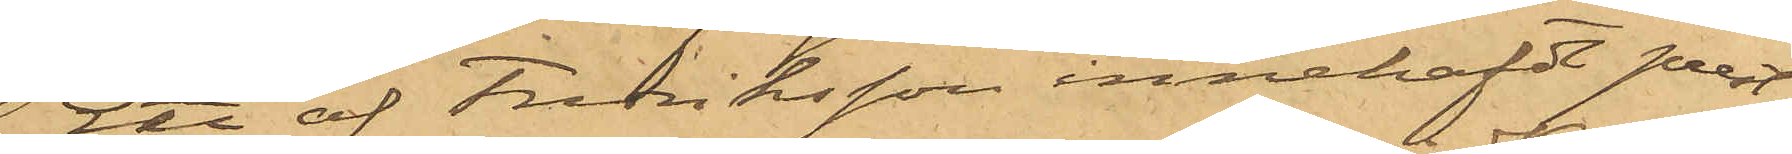Ett af Fredriksson innehafdt prest¬
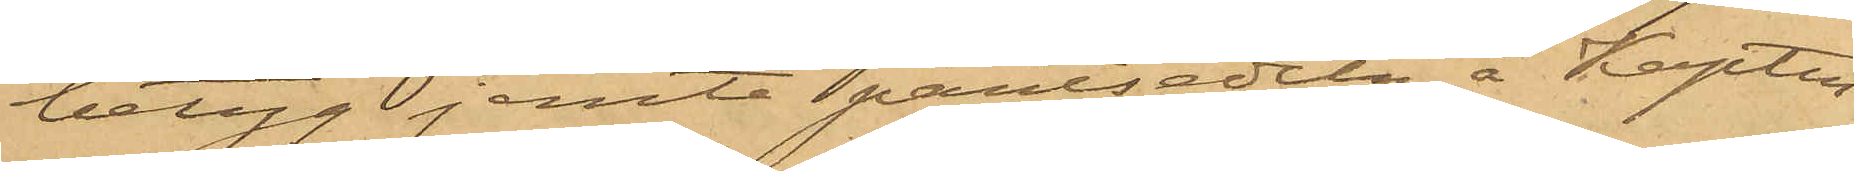betyg jemte pantsedeln å Kapten
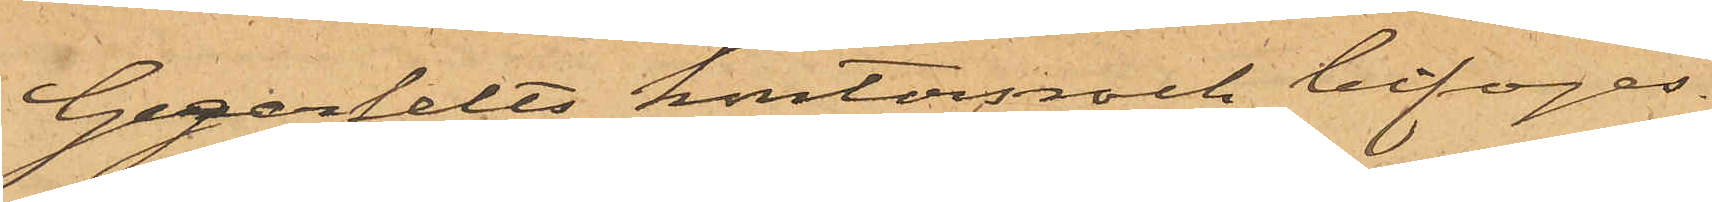Gegerfelts kontorsrock bifogas.
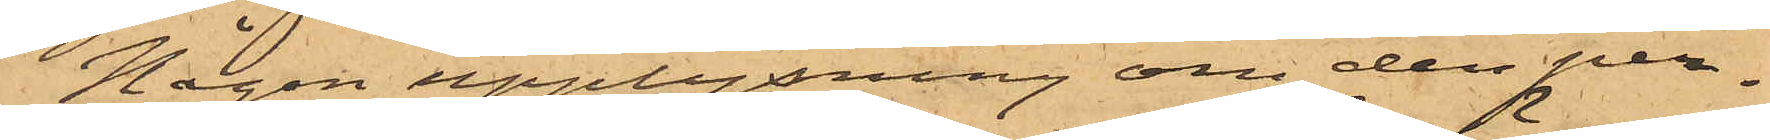Någon upplysning om den per¬
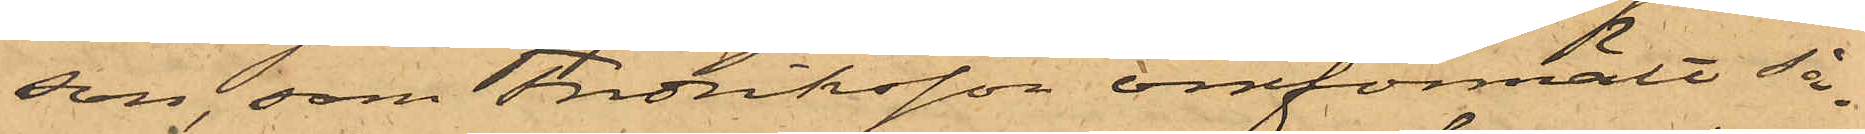son, som Fredriksson omförmält så¬
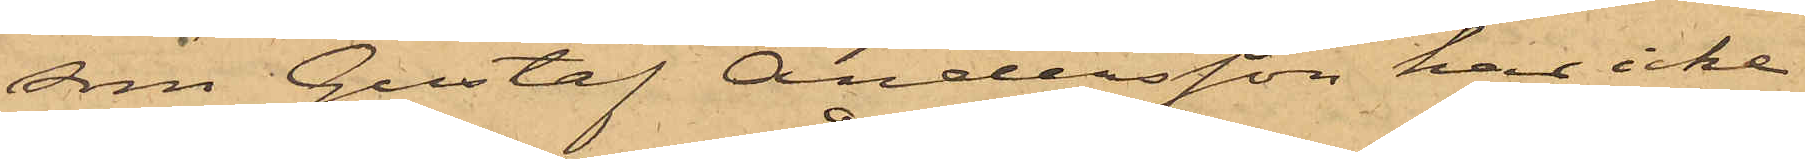som Gustaf Andersson har icke
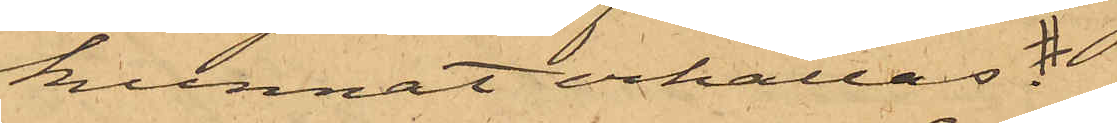kunnat erhållas.
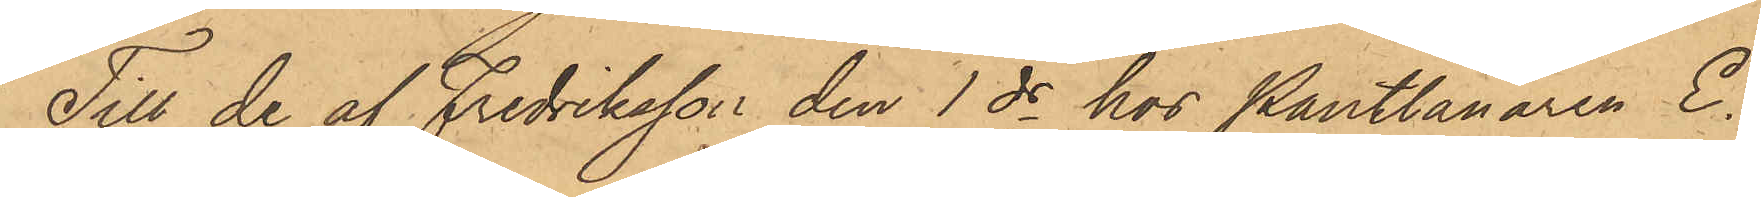Till de af Fredriksson den 1 ds hos Pantlånaren E.
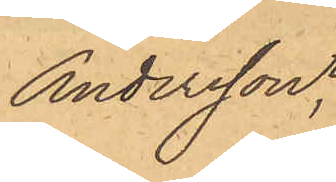Andersson,
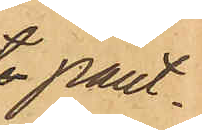pant¬
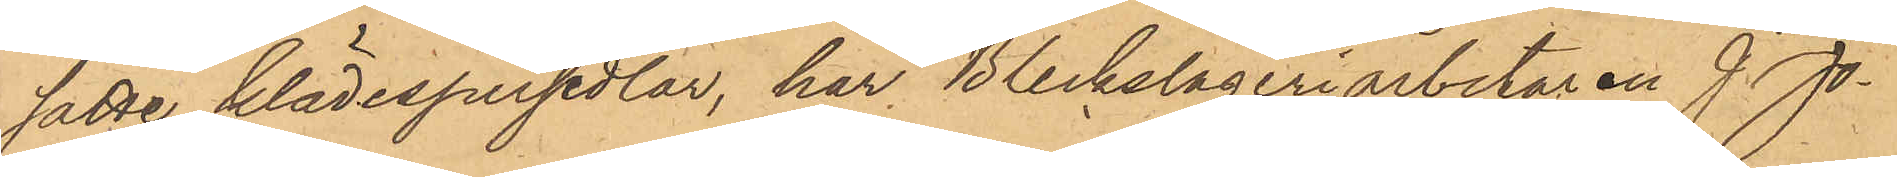satte klädespersedlar, har Bleckslageriarbetaren J. Jo¬
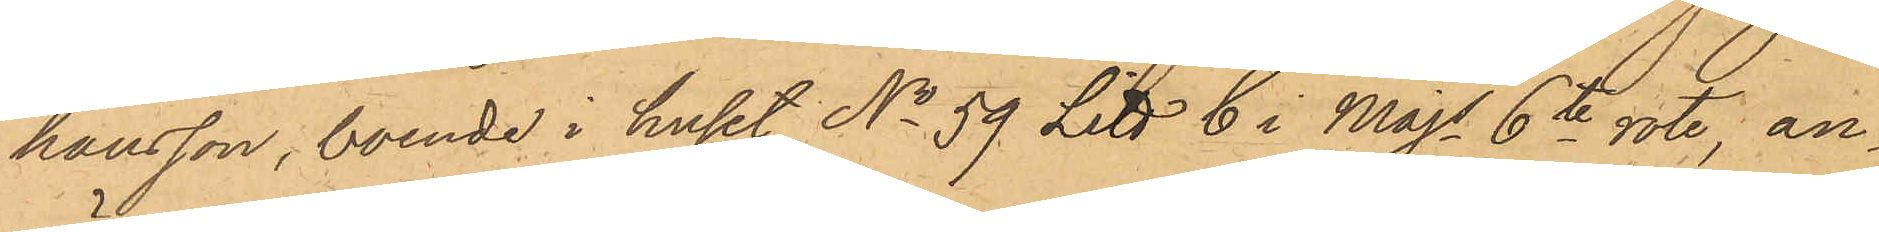hansson, boende i huset No 59 Litt C i Majs 6te rote, an¬
